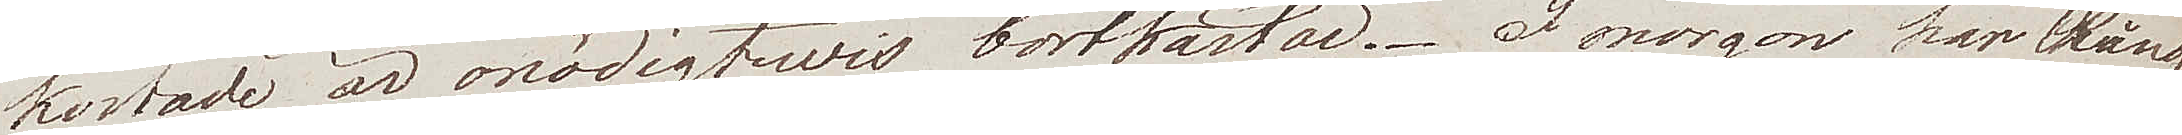kostade är onödigtwis bortkastad. I morgon har Ring
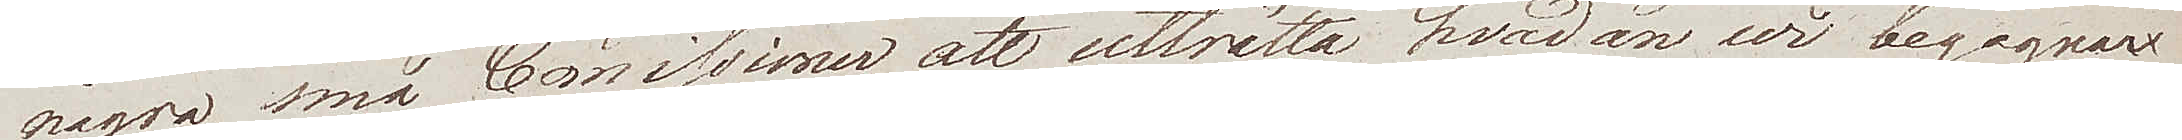några små Comissioner att uträtta hvadan wi begagnar
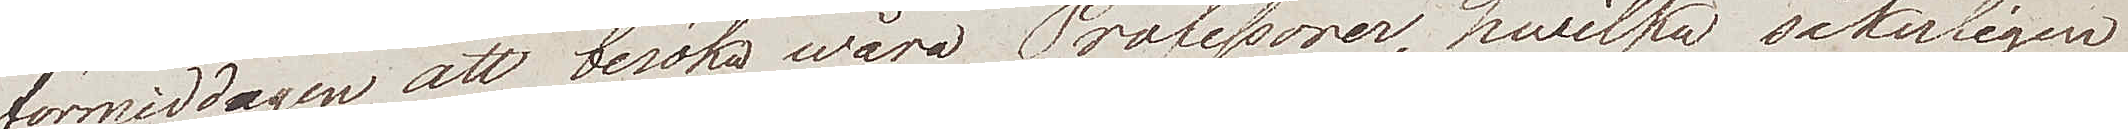förmiddagen att besöka wåra Professorer, hwilka säkerligen
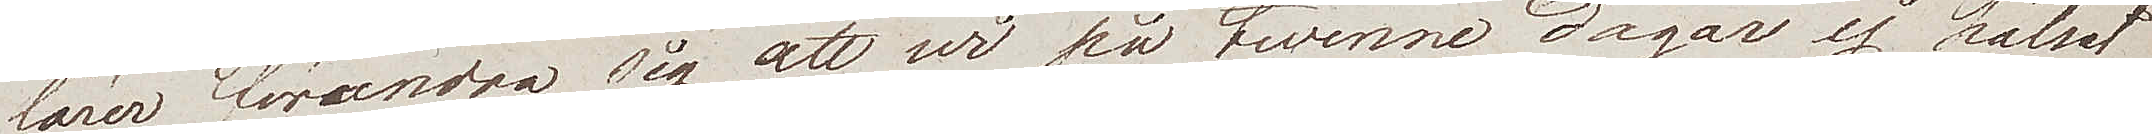lärer förundra sig att wi på twenne dagar ej hälsat
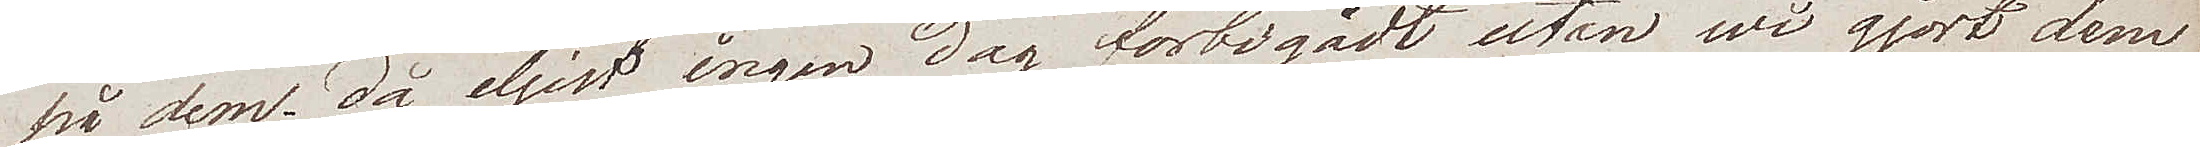på dem. då ejljest ingen dag förbigådt utan wi gjort dem
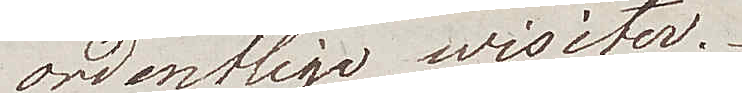ordentliga wisiter.
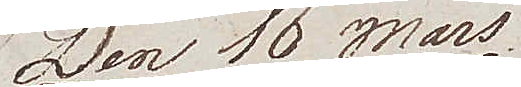Den 16 mars
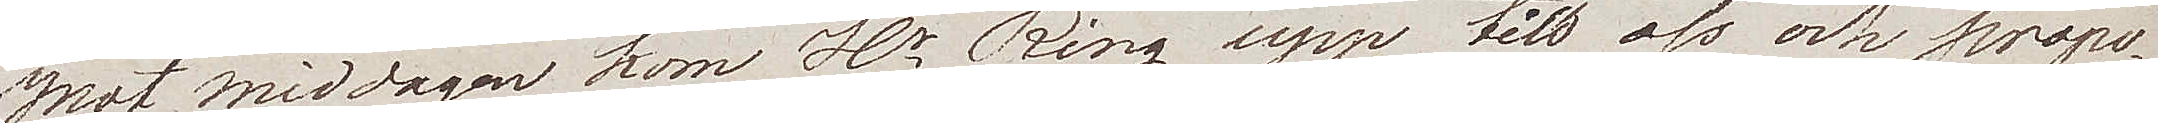Mot Middagen kom Hr Ring upp till oss och propo¬
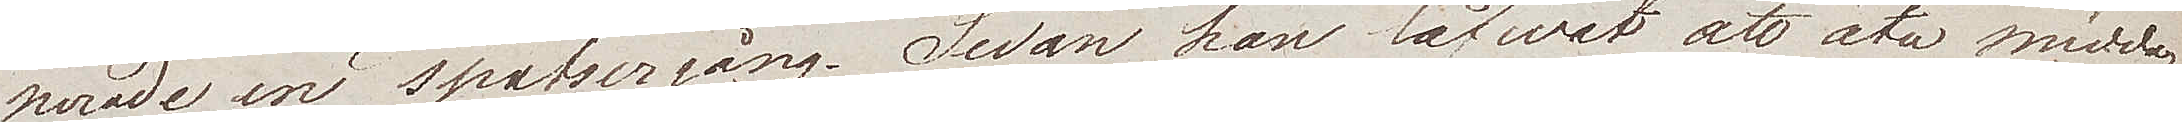nerade en spatsergång. Sedan han låfwat att äta middag
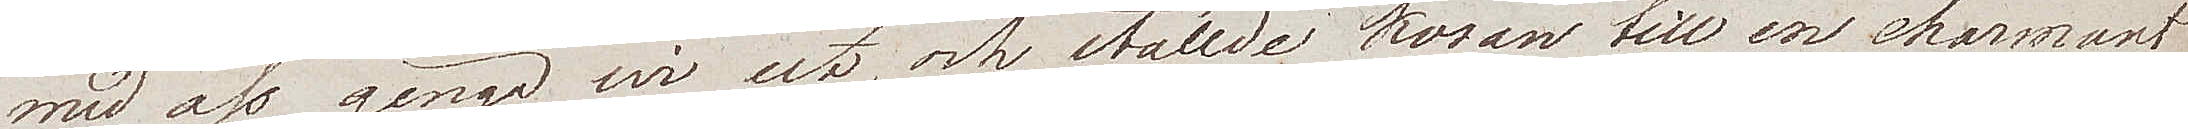med oss ginge wi ute, och ställde kosan till en charmant
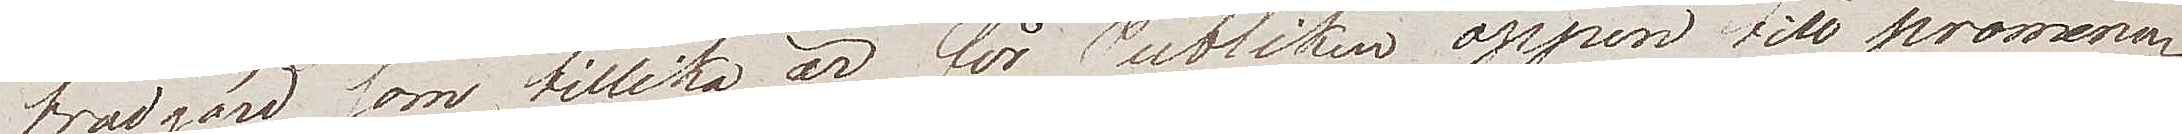trädgård som tillika är för Publiken öppen till promena¬
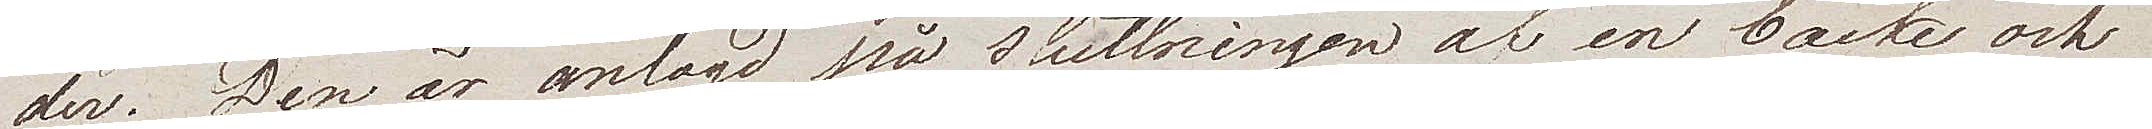der. Den är anlagd på sluttningen af en backe och 
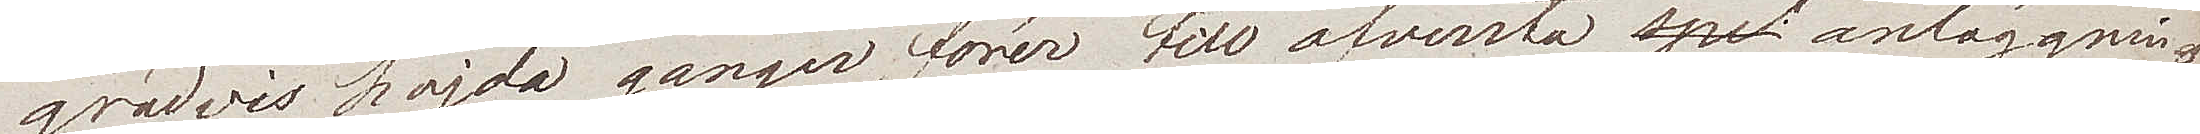gradvis höjda gånger, förer till ofwersta anläggning¬
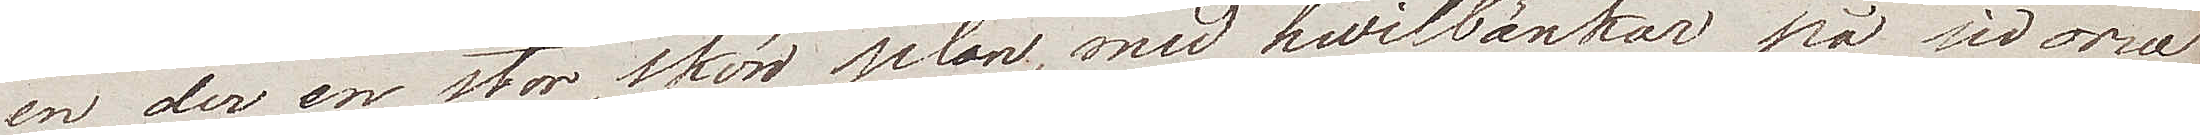en der en stor skön plan, med hwilbänkar på sidorna
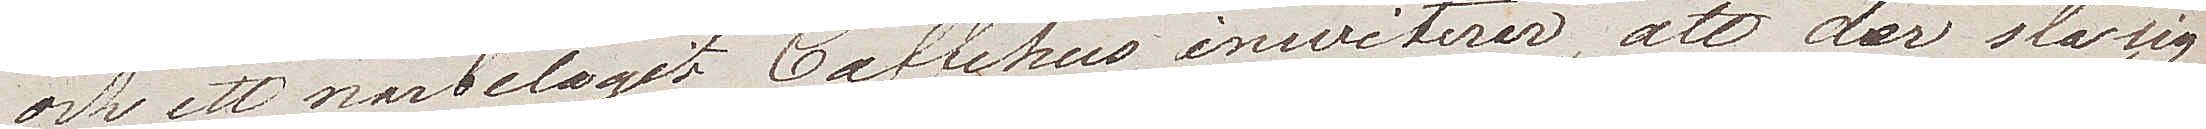och ett närbelagit Caffehus inwiterer, att der sla sig
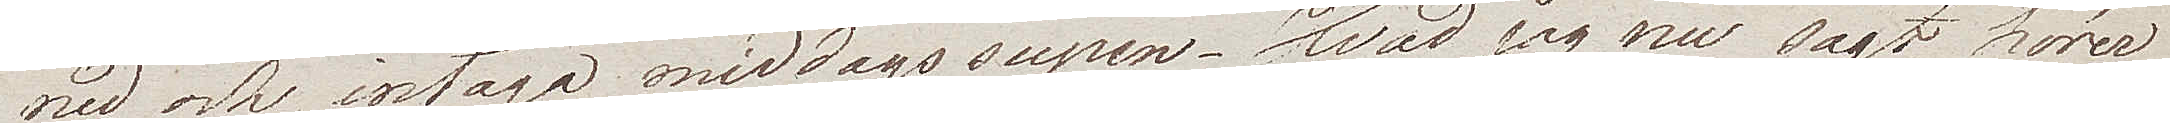med och intaga middagssupen. Hvad jag nu sagt, hörer
